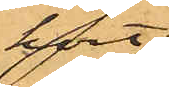kort
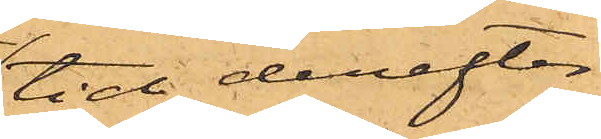tid derefter
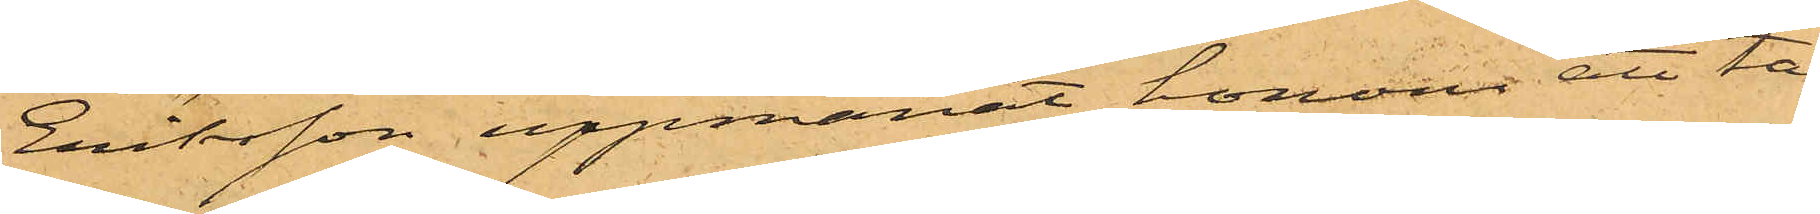Eriksson uppmanat honom att ta¬
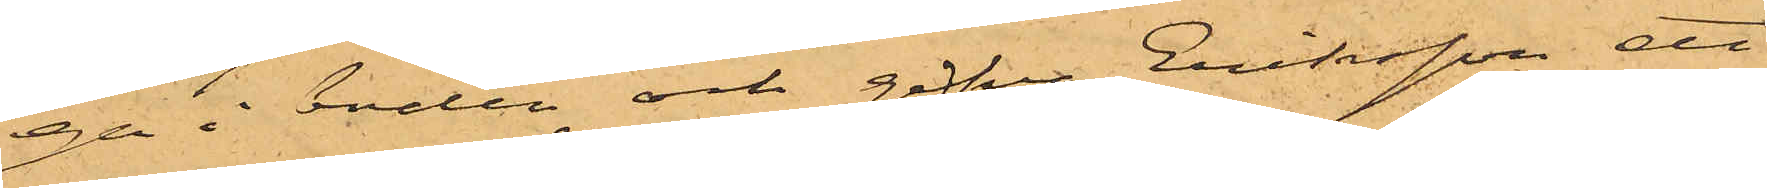ga i boden och gifva Eriksson ett
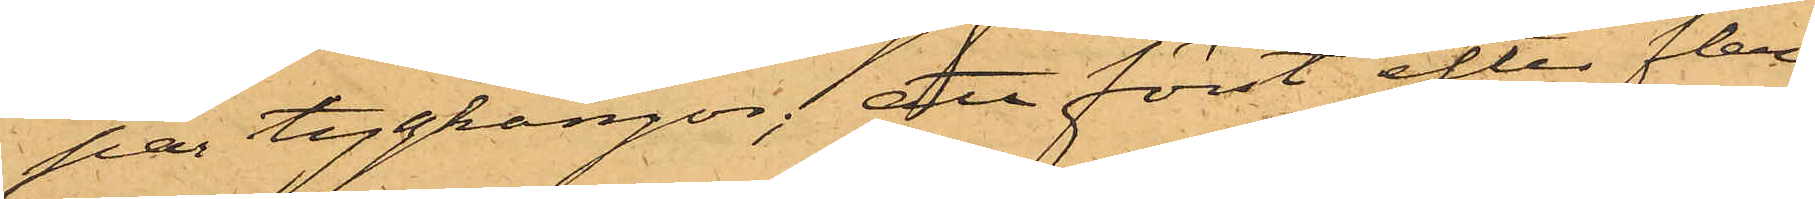par tygkängor; att först efter flera
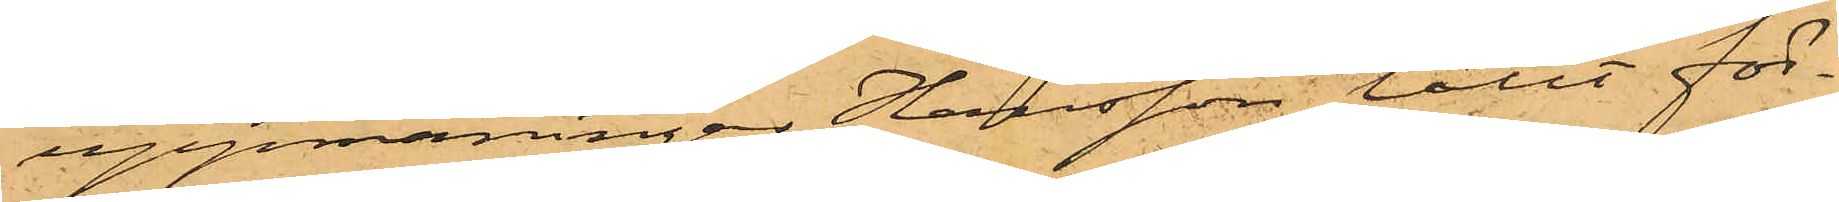uppmaningar Hansson låtit för¬
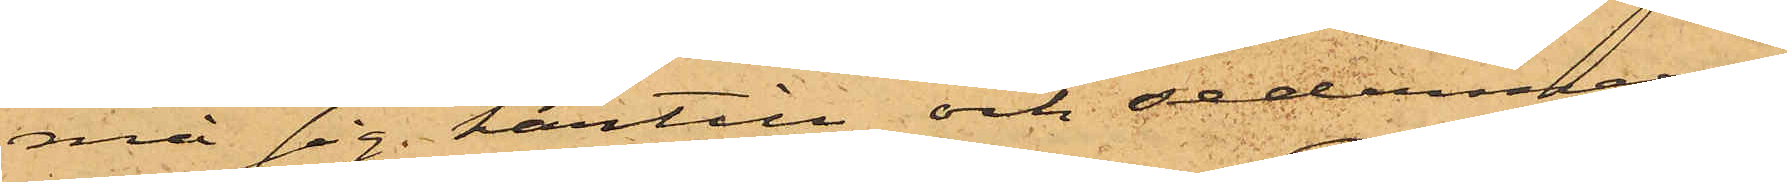må sig härtill och sedermera,
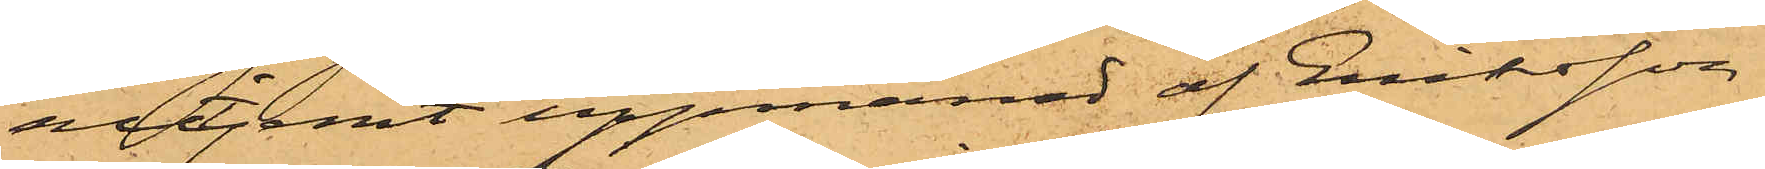alltjemt uppmanad af Eriksson,
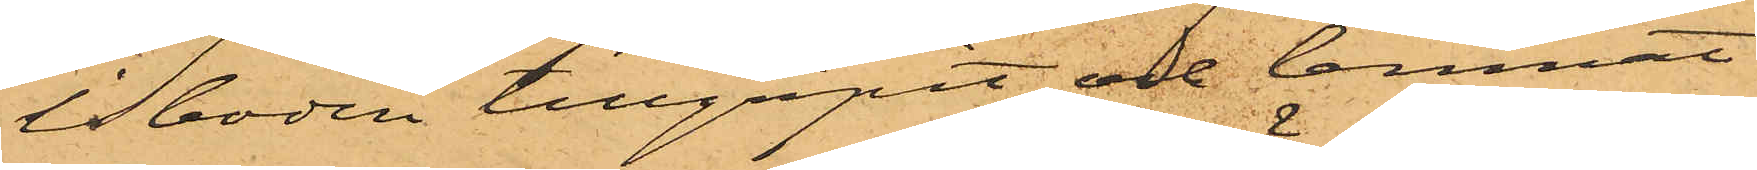i boden tillgripit och lemnat
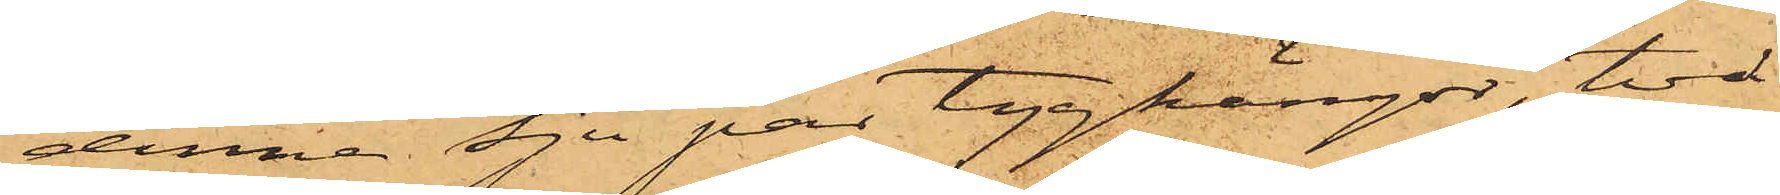denne sju par tygkängor, två
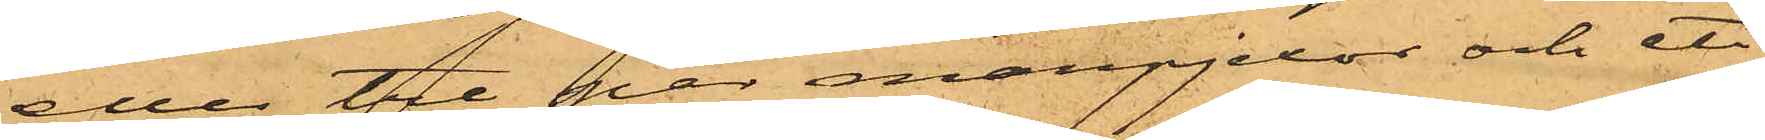eller tre par manpjexor och ett
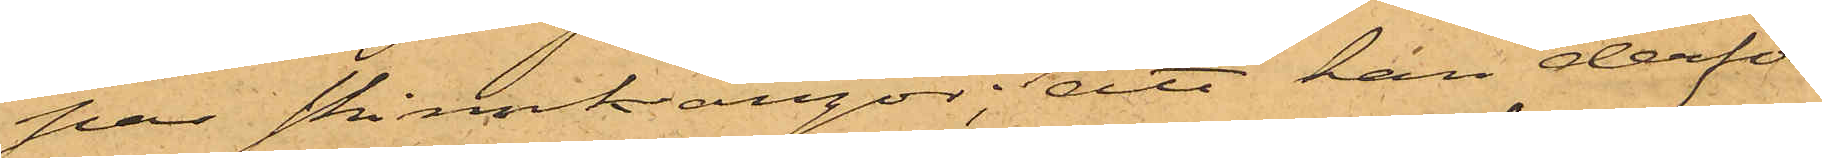par skinnkängor; att han derför
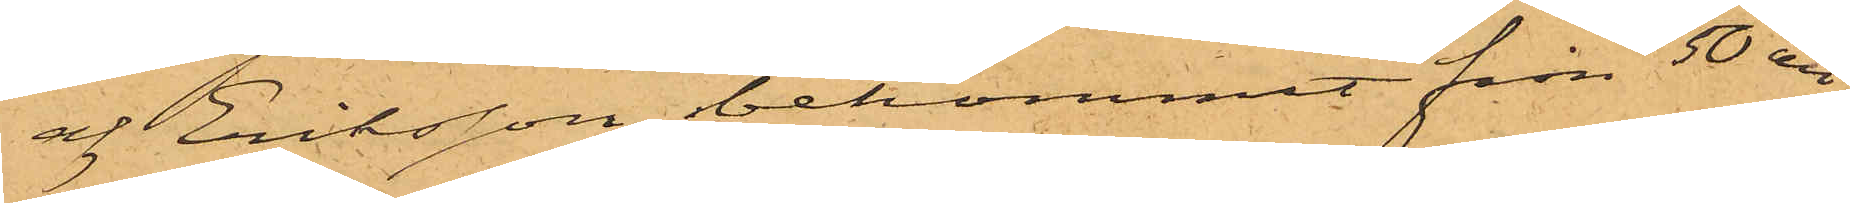af Eriksson bekommit från 50 öre
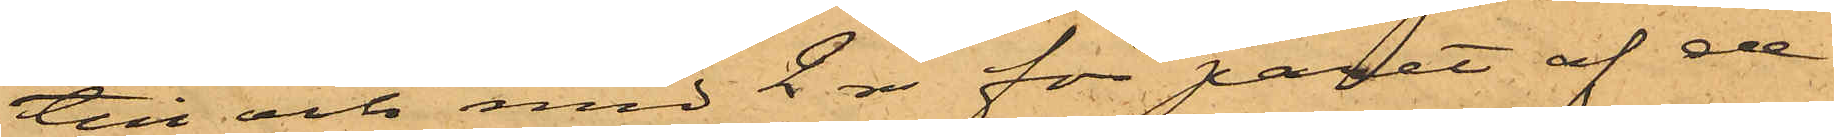till och med 2 rdr för paret af de
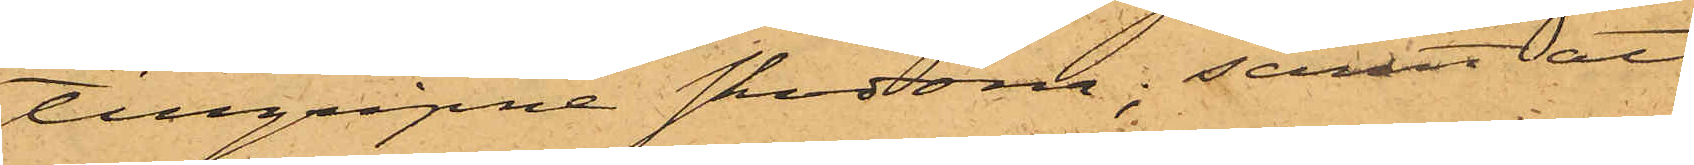tillgripne skodona; samt att
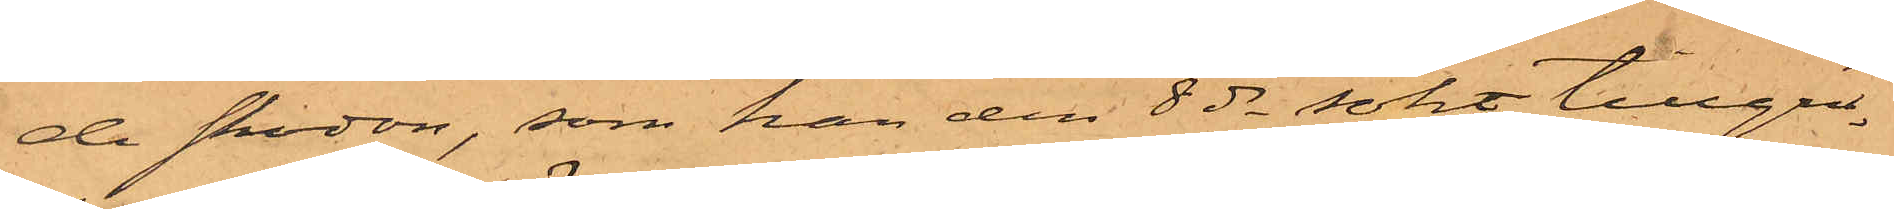de skodon, som han den 8 ds sökt tillgri¬
